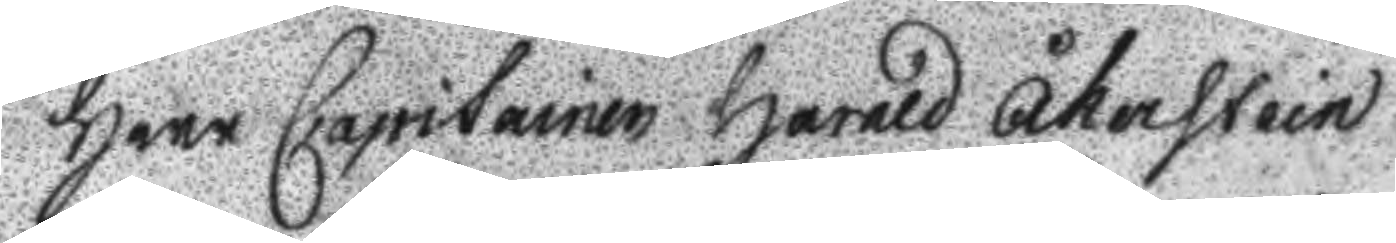Herr Capitainen Harald Åkerstein
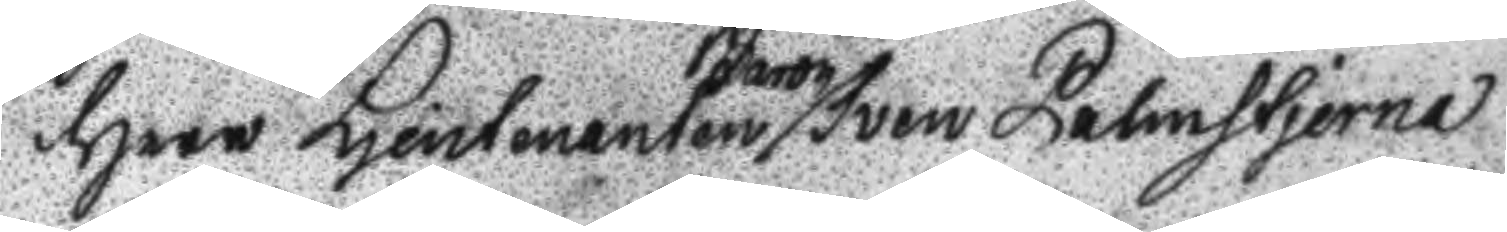Herr Ljeutenanten Baron Sven Palmstjerna
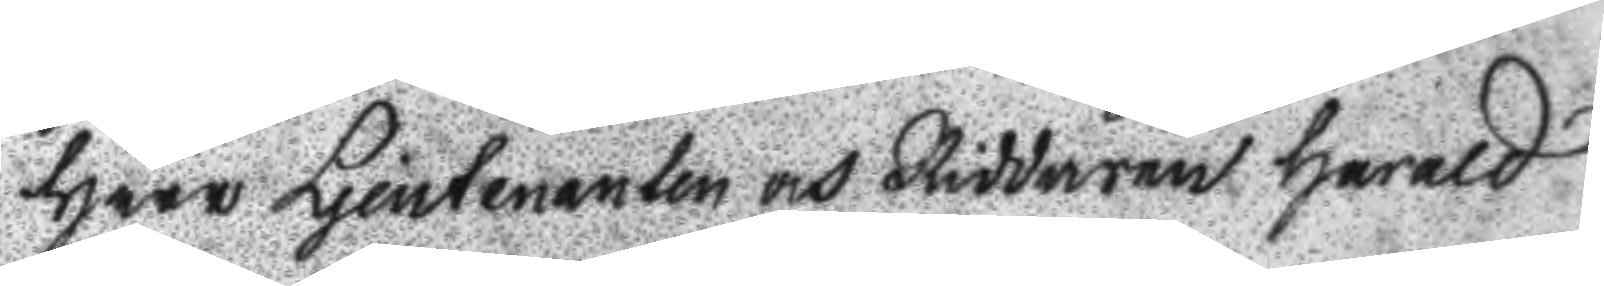Herr Ljeutenanen och Riddaren Harald
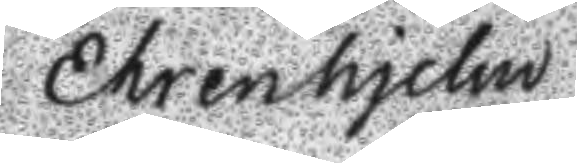Ehrenhjelm
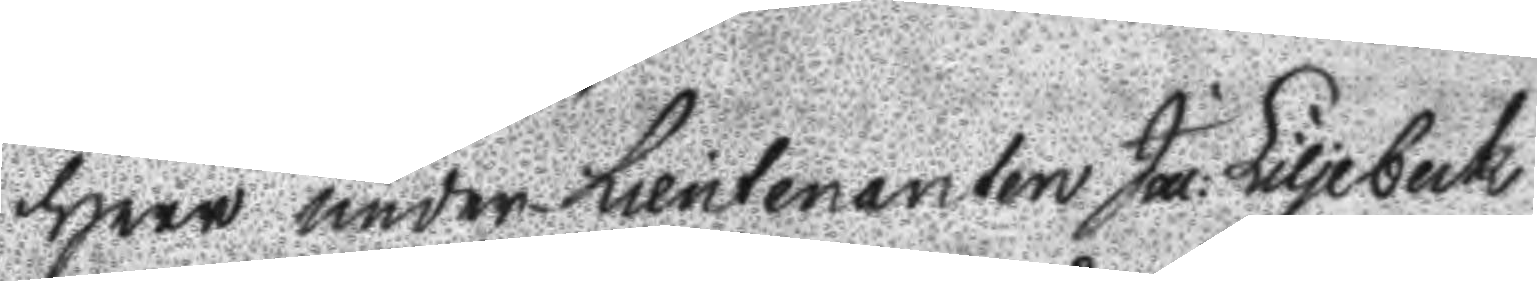Herr under Lieutenanten Ja: Liljebeck 
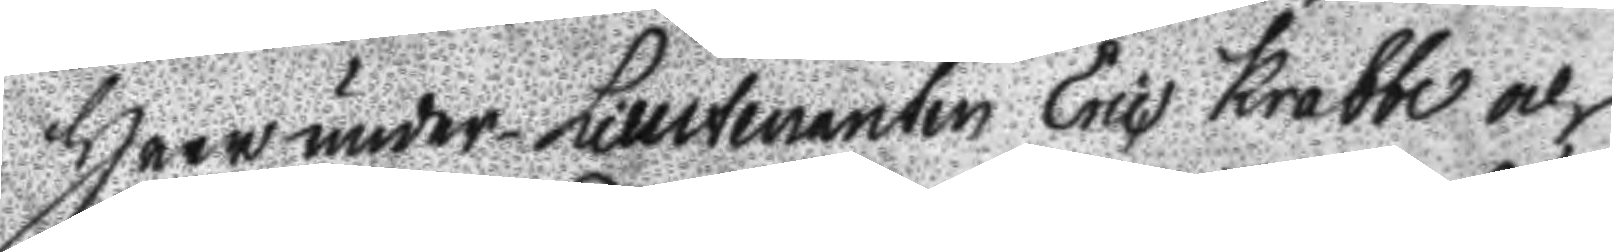Herr under Lieutenanten Eric Krabbe och
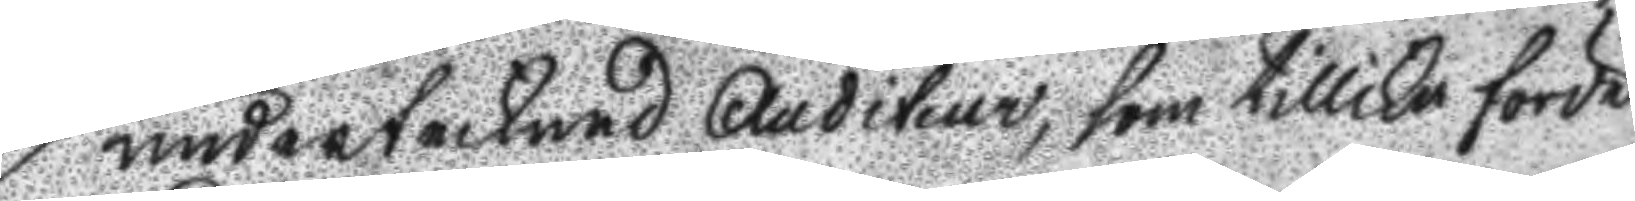undertecknad Auditeur, som tillika förde
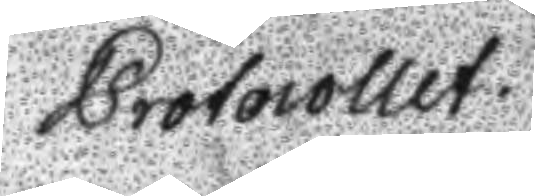Protocollet.
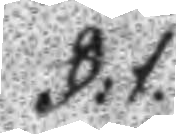§:1.
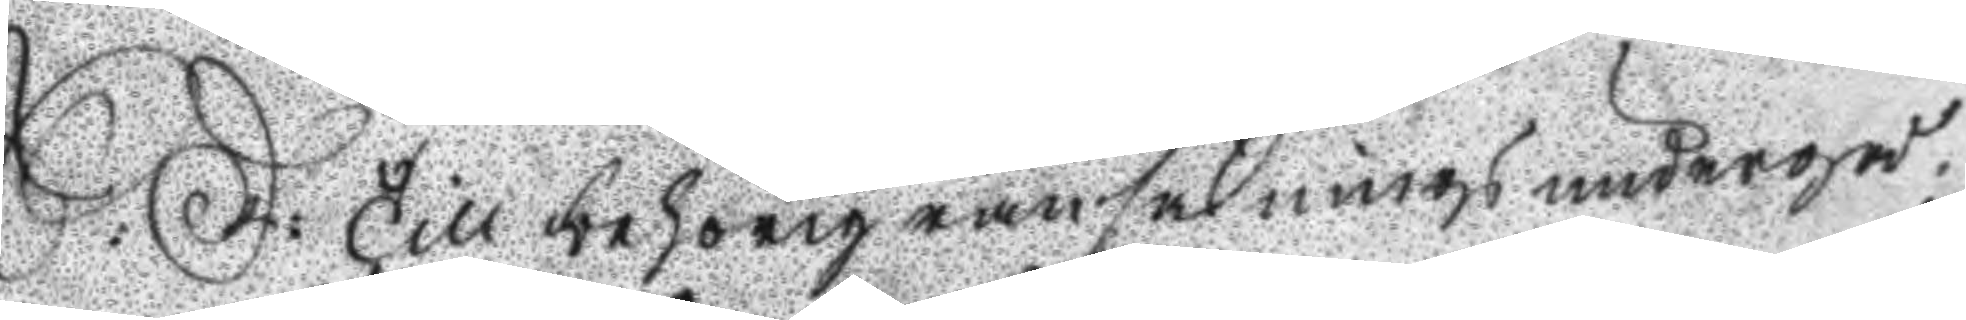S:D: till behörig ransakning undergå¬ 
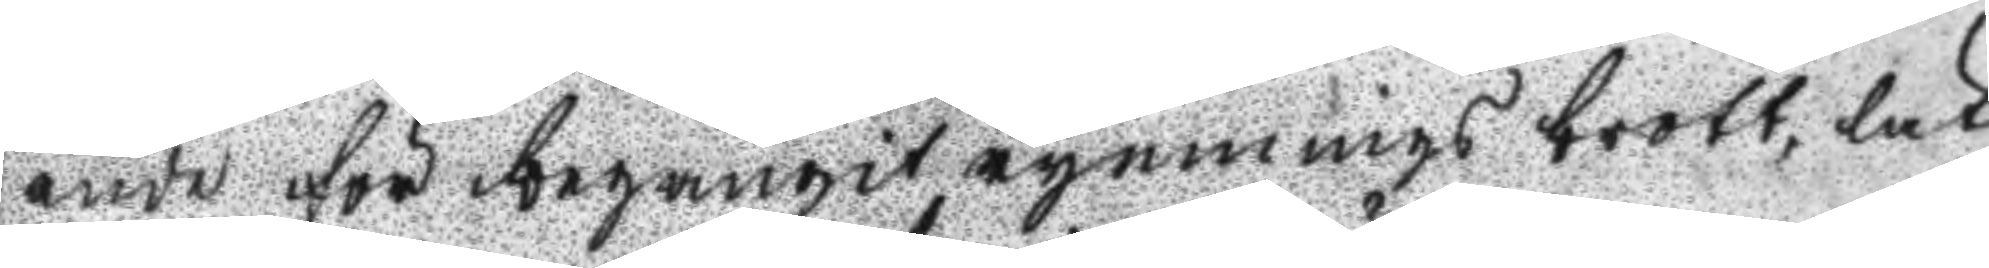ende för begångit rymnings brott, lät
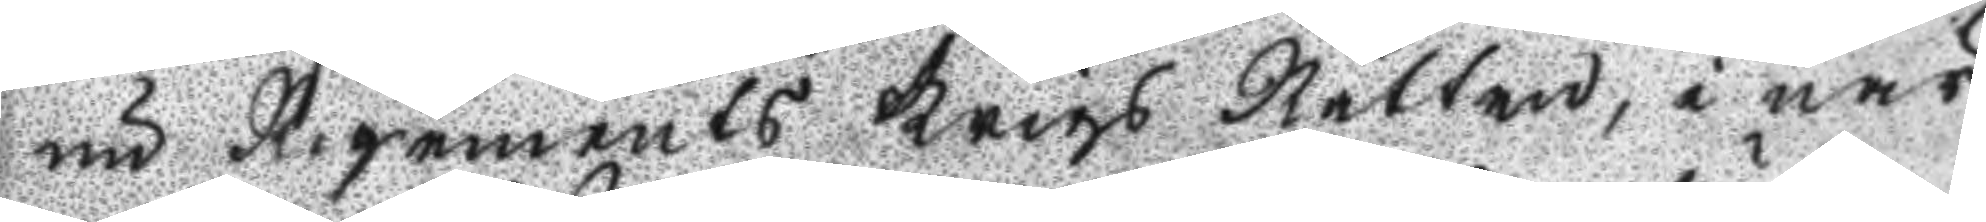nu Regements Krigs Rätten, inär
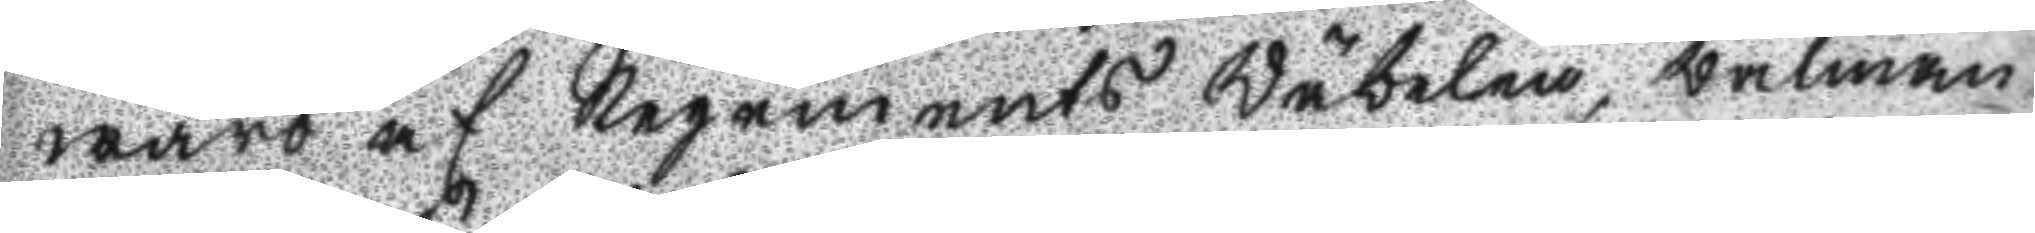waro af Regements Wäbelen, wälman
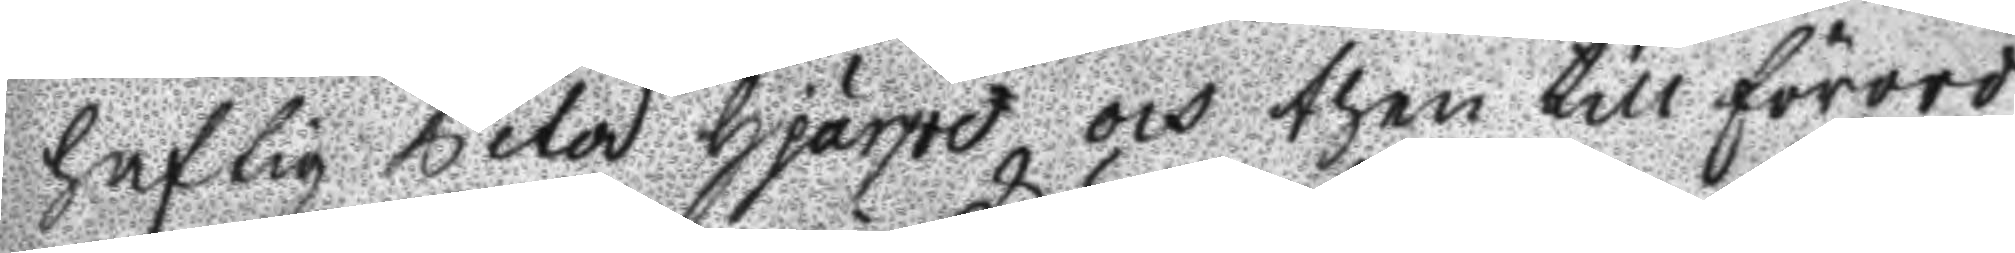haftig Peter Hjärpe och then till förord
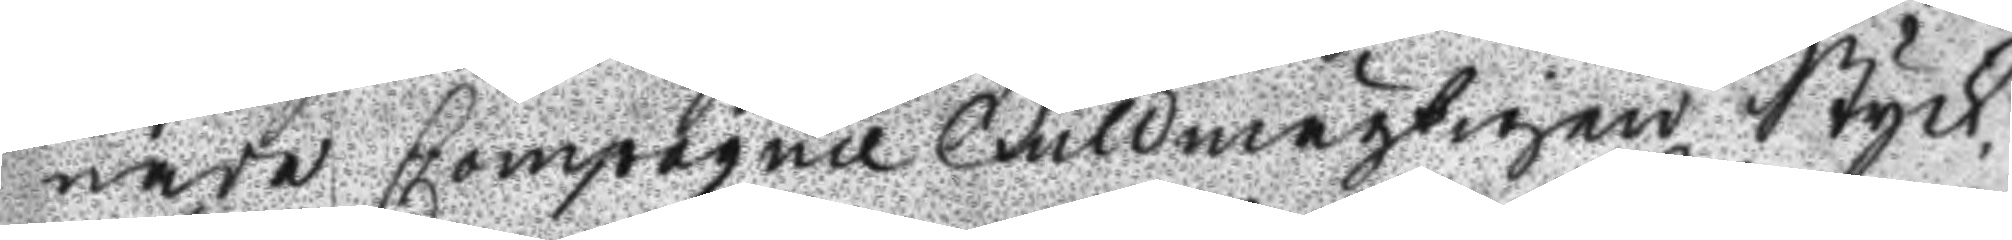nade Compagnie Fullmägtigen Styck
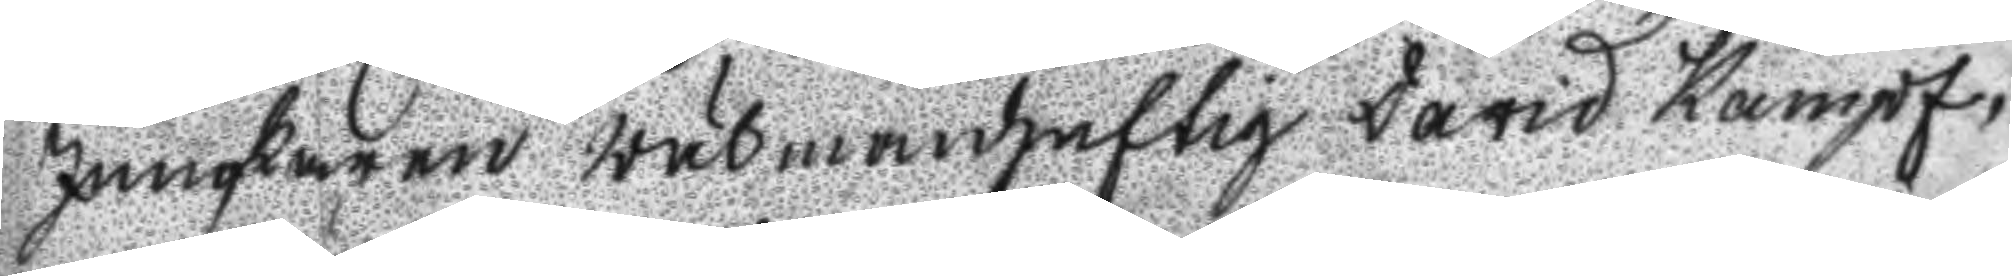Junkaren wälmanhaftig David Kampf,
